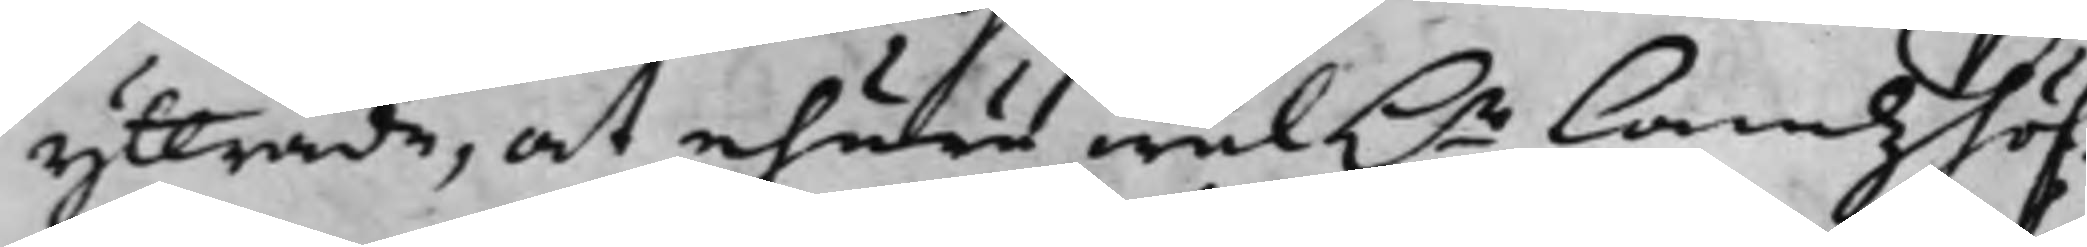yttrade, at ehuru wäl h.r Landzhöf¬
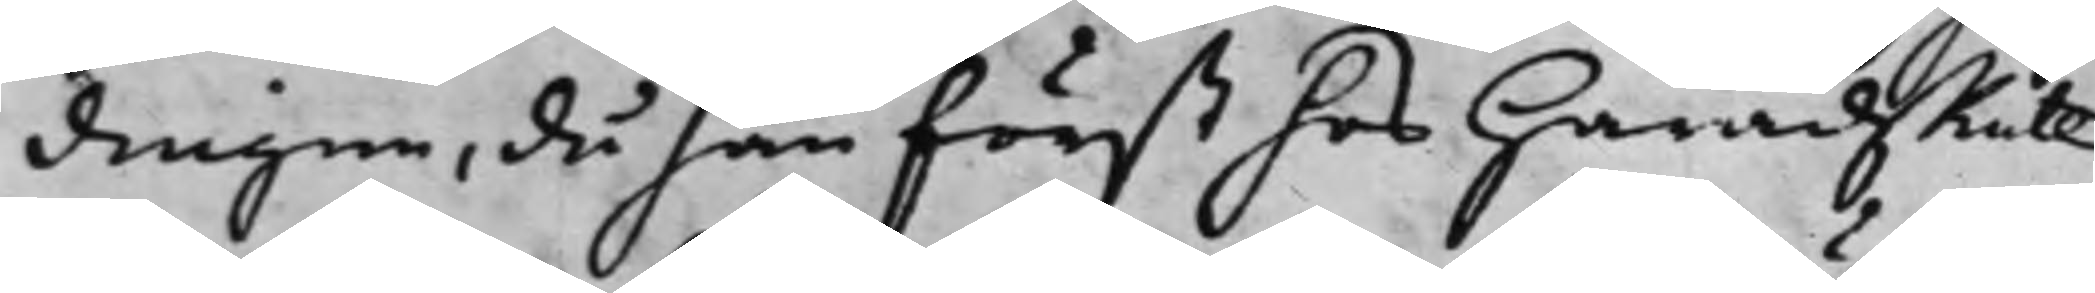dingen, då han först hos HäradzRätt
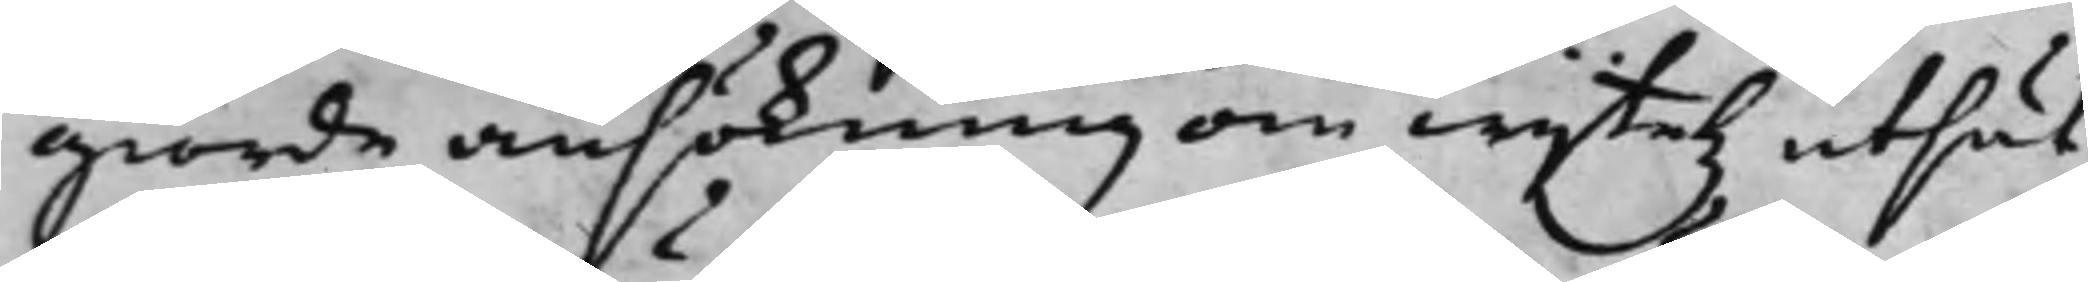giorde ansökning om wijtetz utsät¬
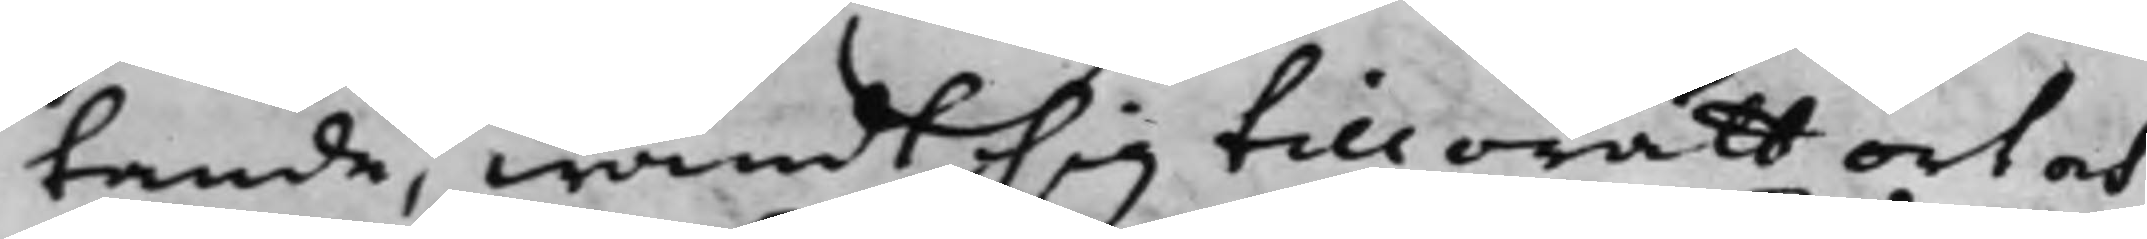tande, wändt sig till orätt ort och
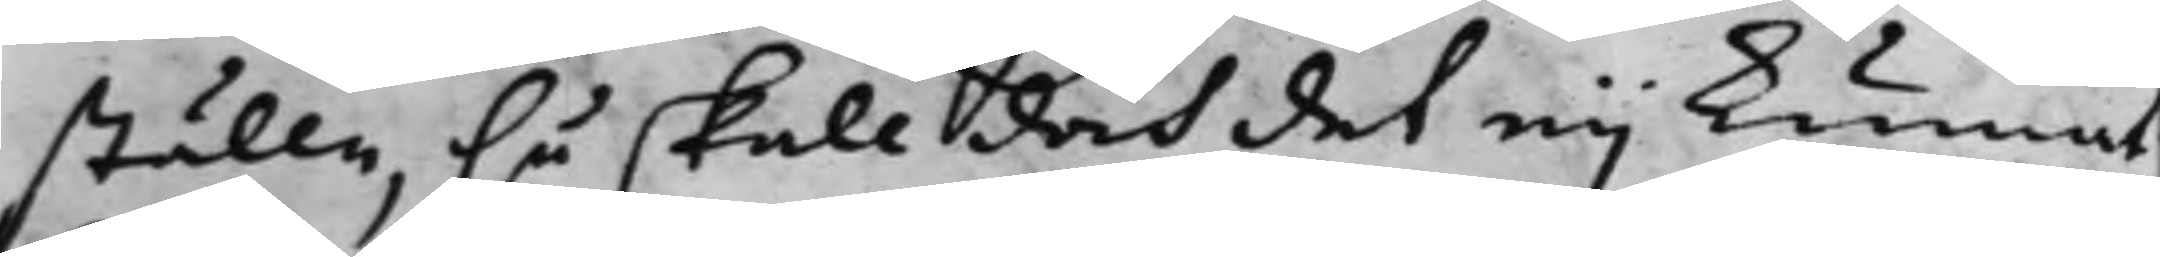ställe, så skall doch det eij kunnat
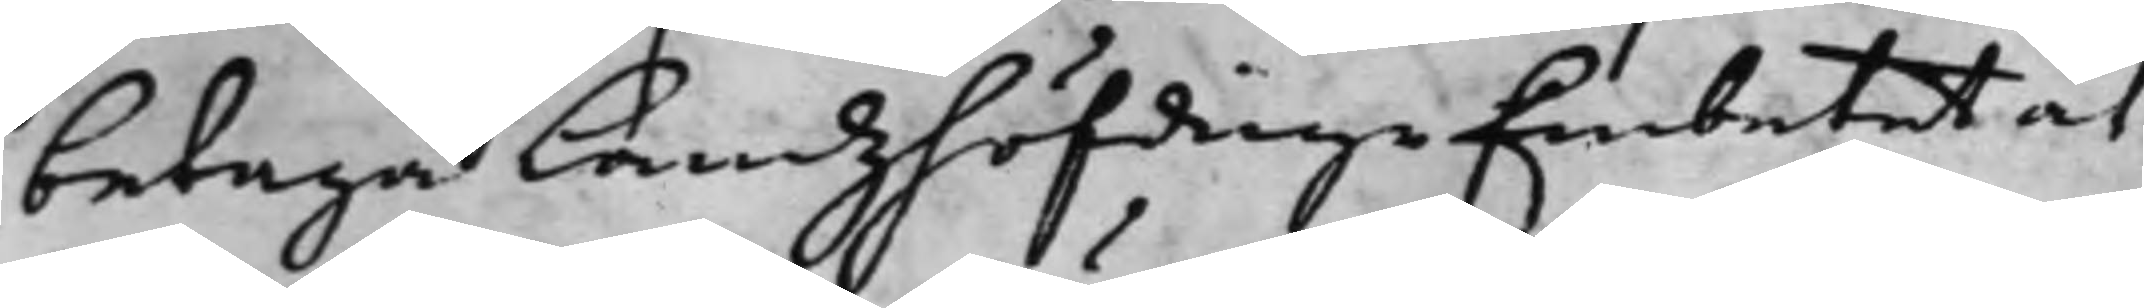betaga LandzhöfdingeEmbetet at
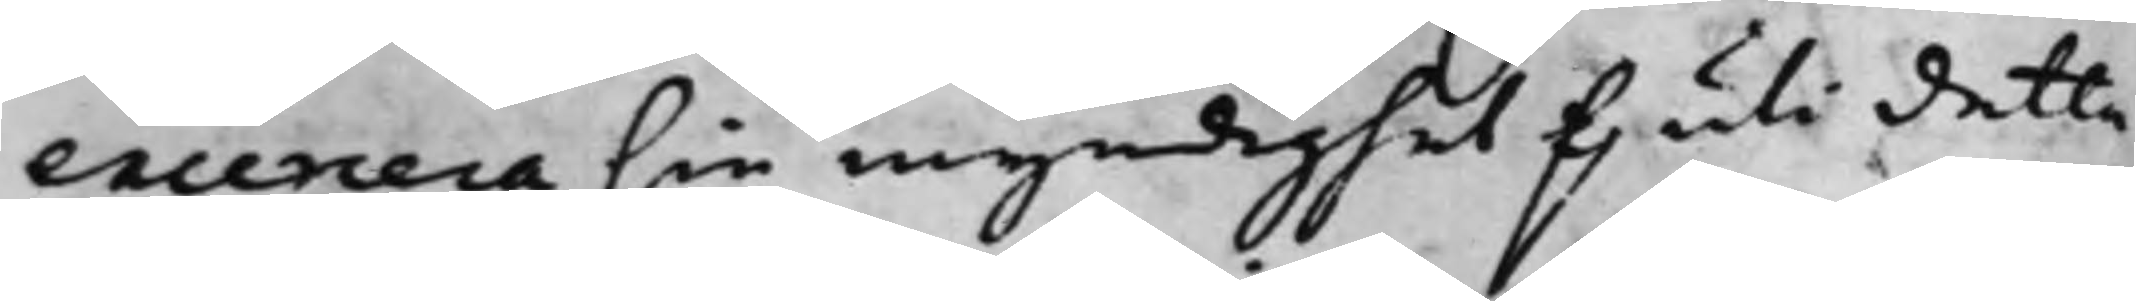excercera sin myndighet f. uti detta
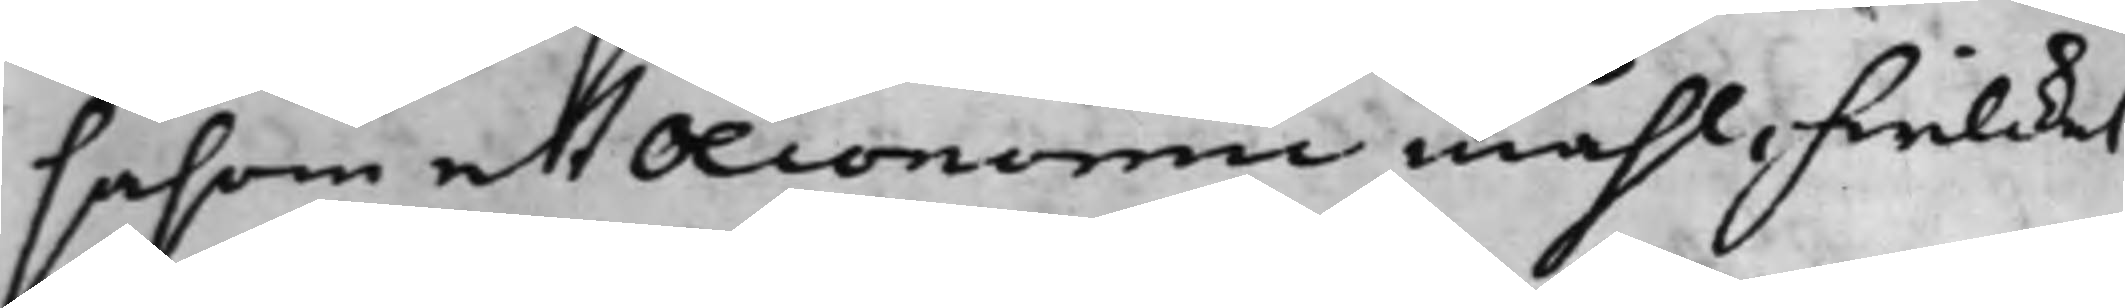såsom ett Oeconomie måhl, hwilcket
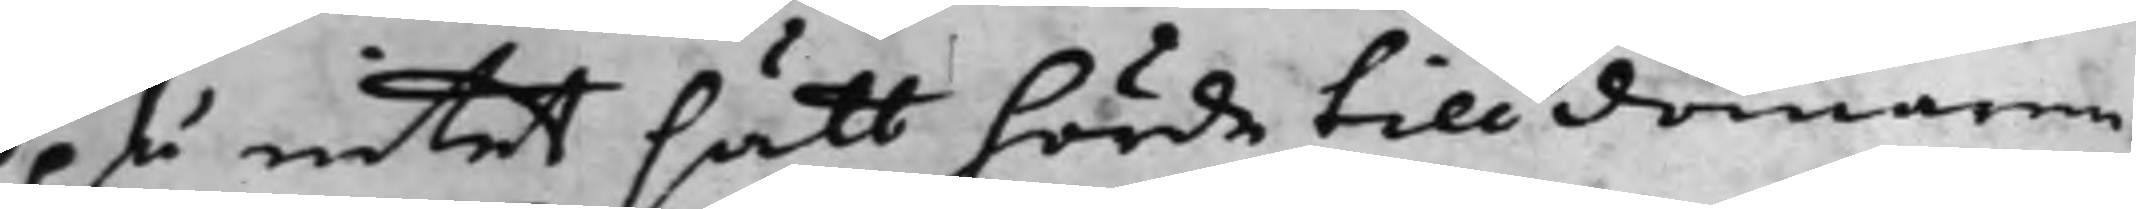på intet sätt hörde till domaren.
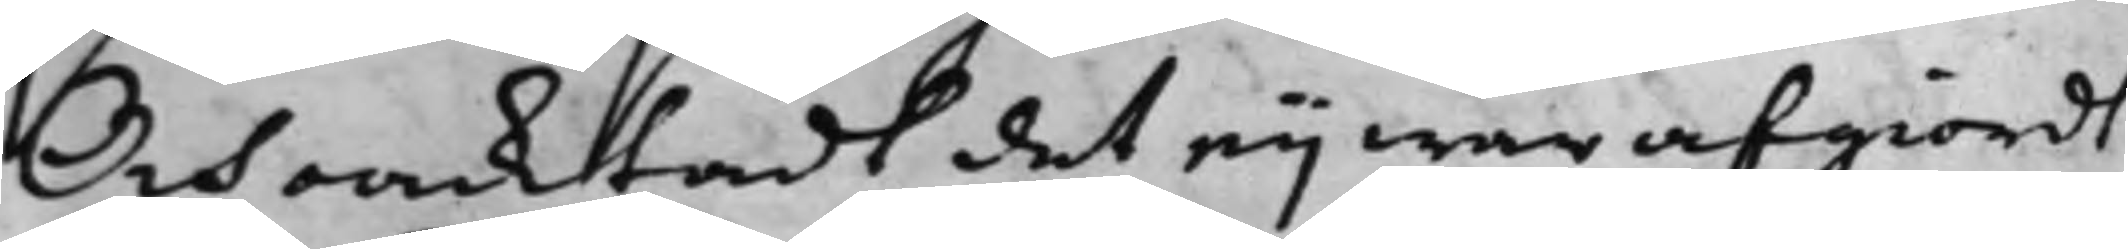Och oacktadt det eij war afgiordt
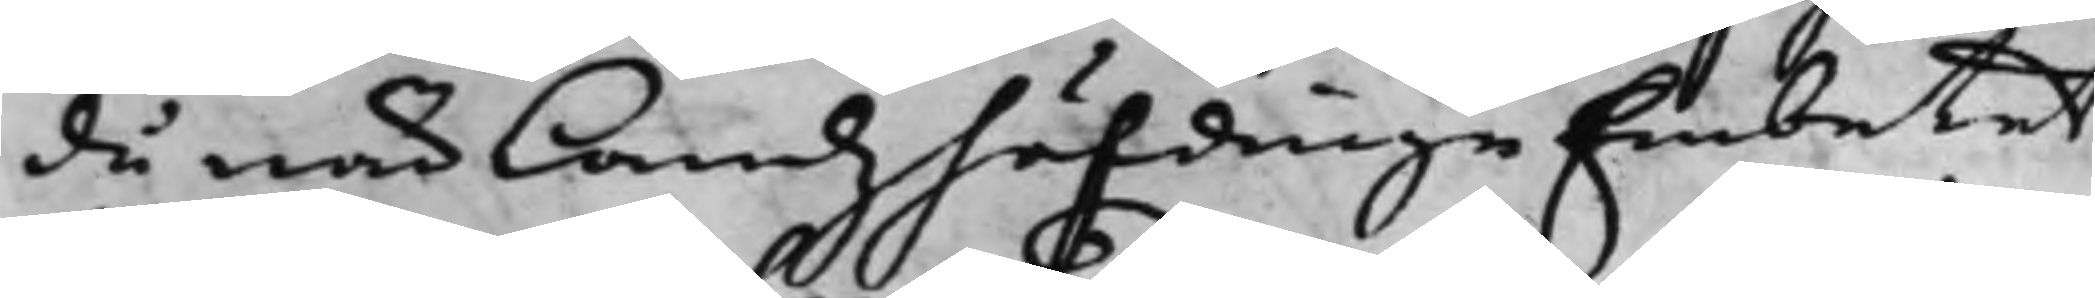då när Landzhöfdinge Embetet
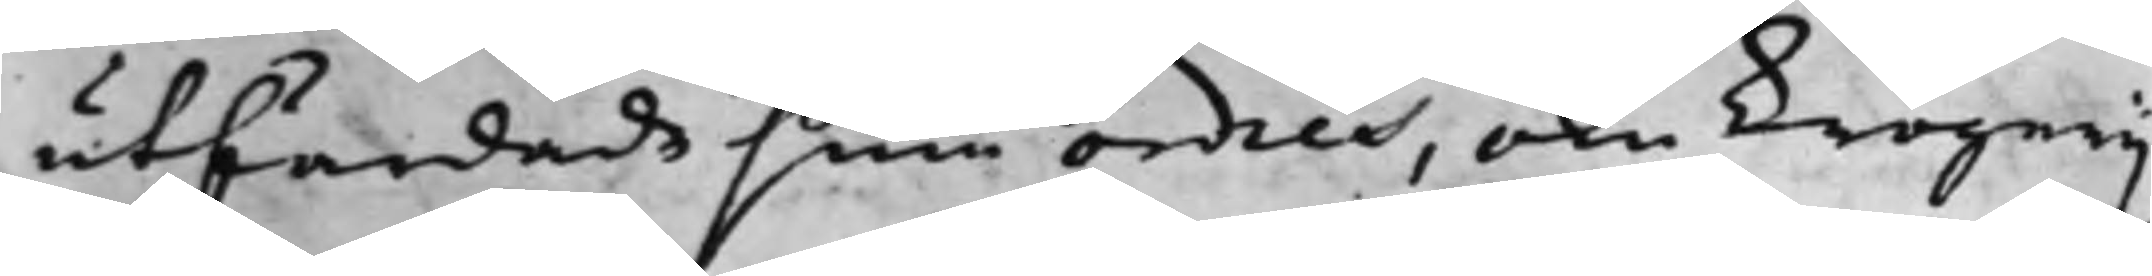utfärdade sine ordres, om krögerij
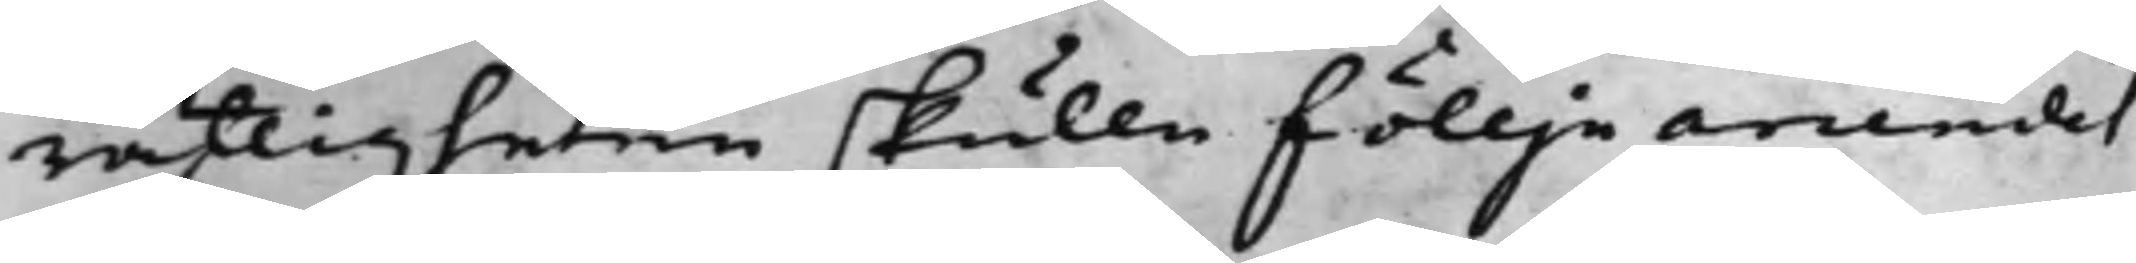rättigheten skulle föllje arrendet
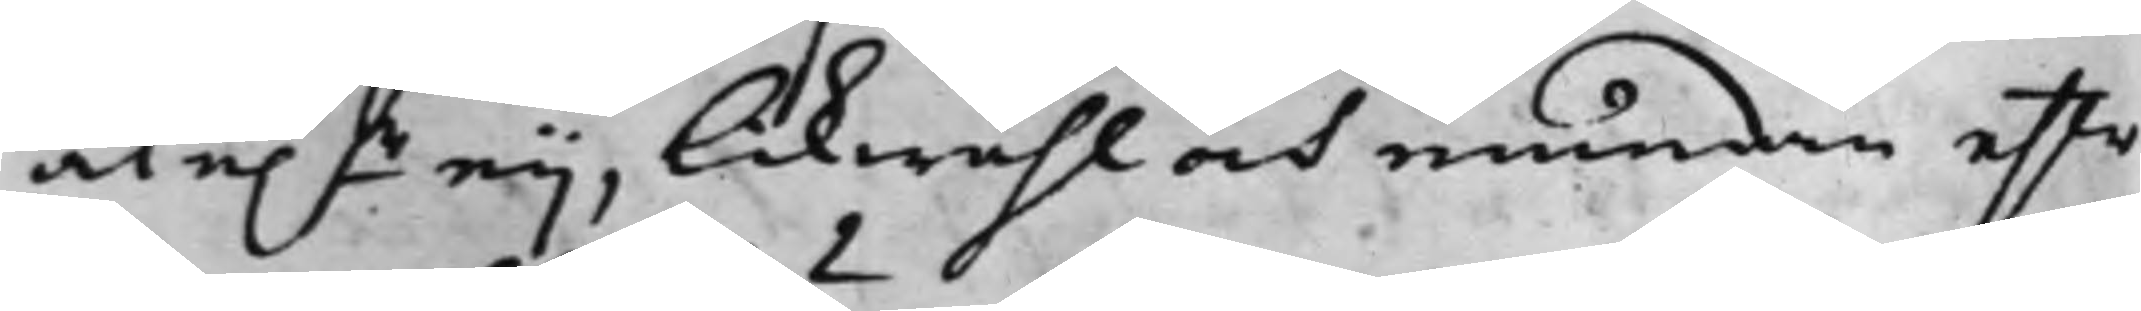åt e.r eij, likwähl och emedan efter
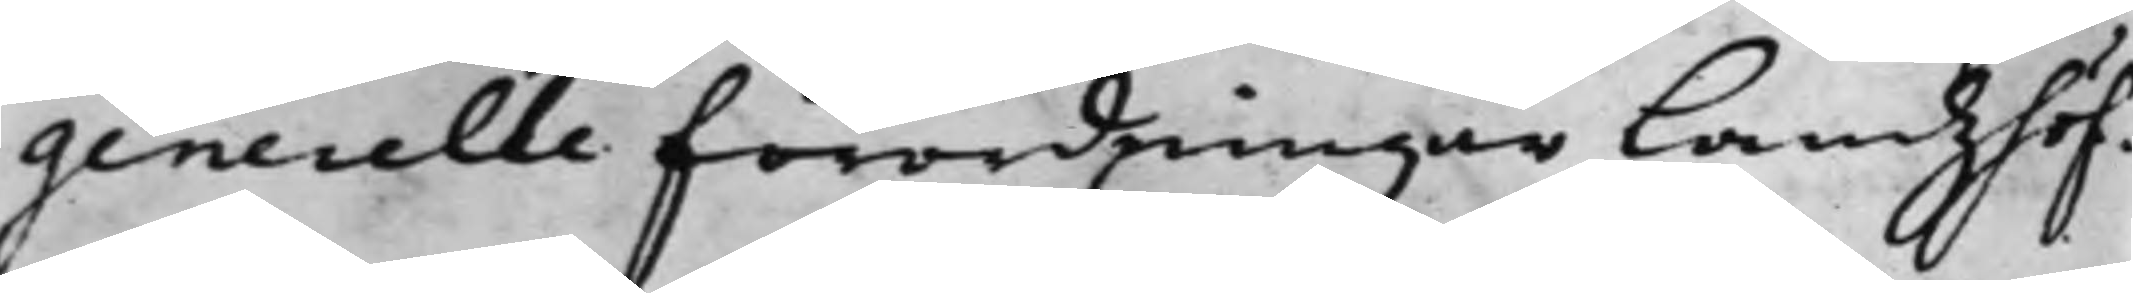generelle förordningar Landzhöf¬
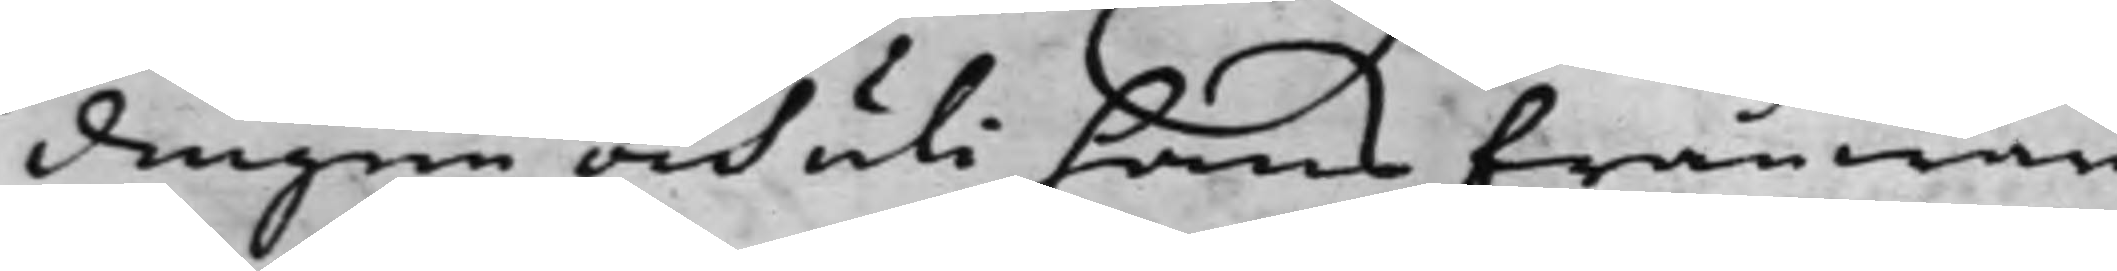dingen och uti hans frånwaro
